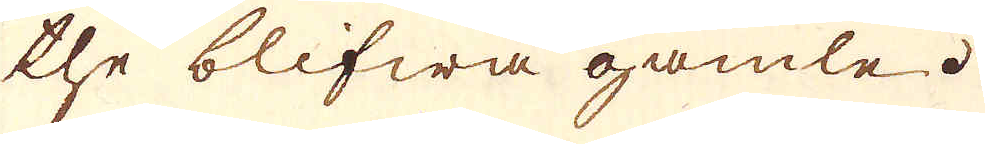the blifwa gamle.
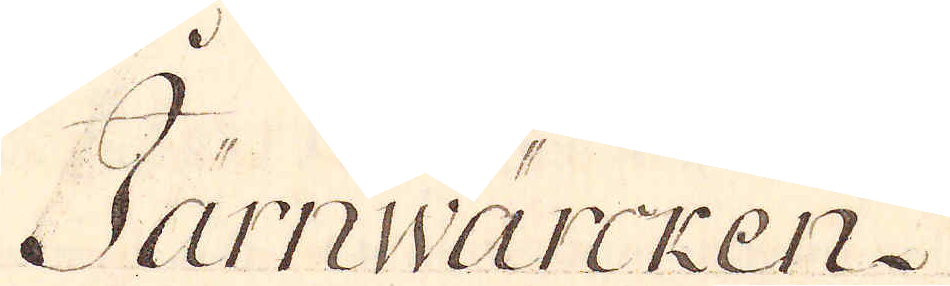Järnwärcken.
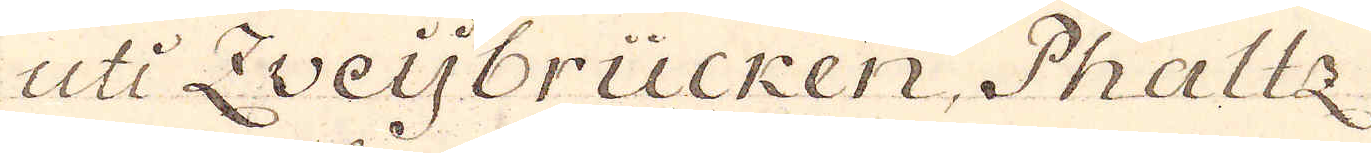uti Zweijbrücken, Phaltz
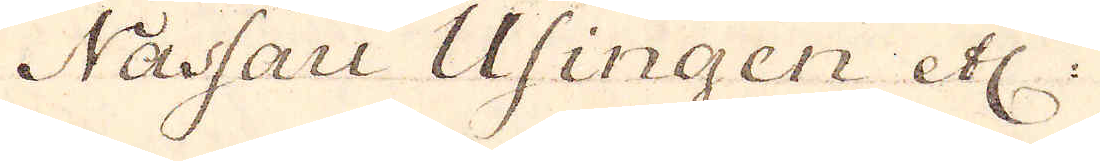Nassau Usingen etc:
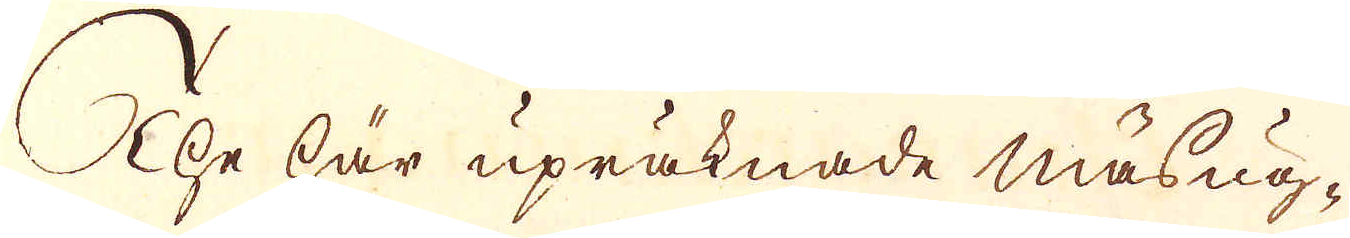The här upräknade masug-
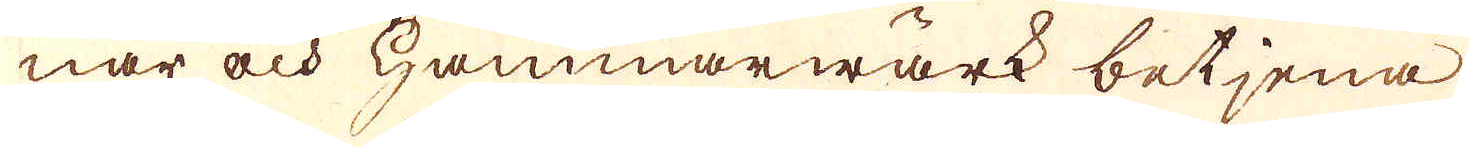nar och Hammarwärk betjena
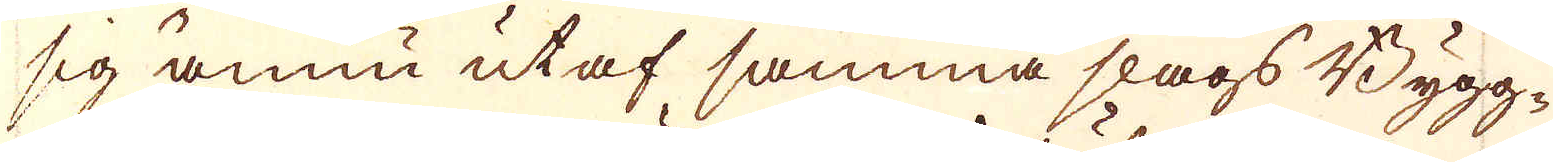sig ännu utaf samma slags Bygg-
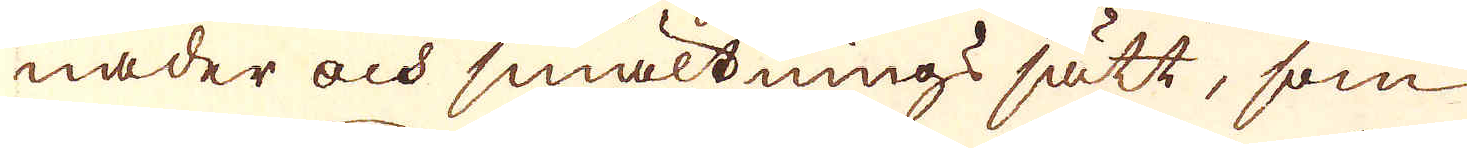nader och smältnings sätt, som
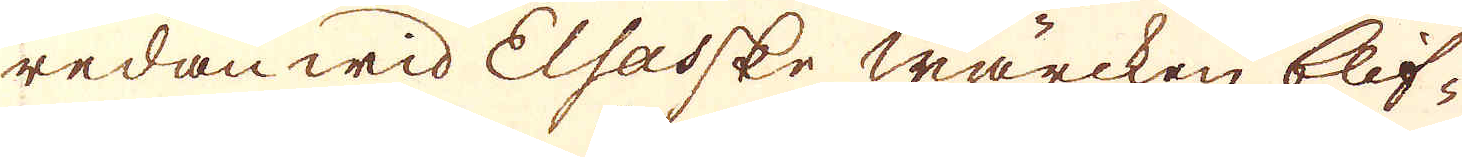redan wid Elsasske wärcken blif-
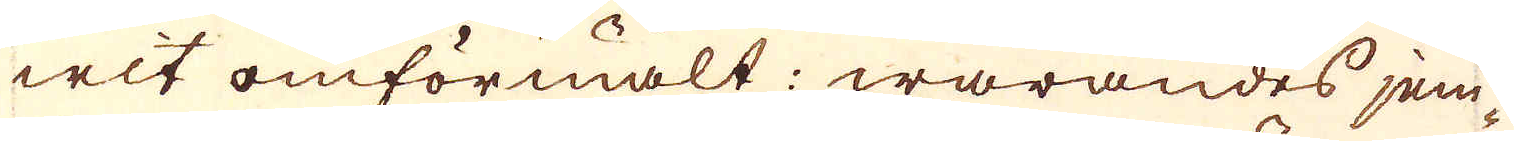wit omförmält: warandes jem-
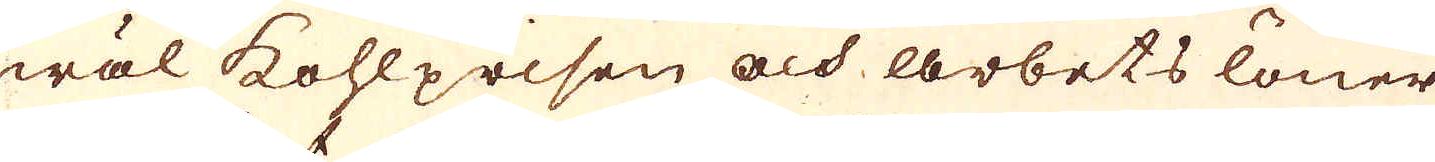wäl kohlprisen och arbets löner
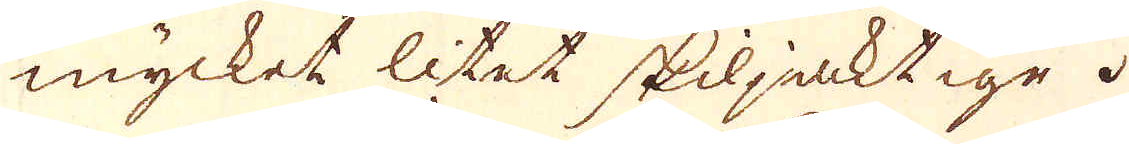mycket litet skiljaktige.
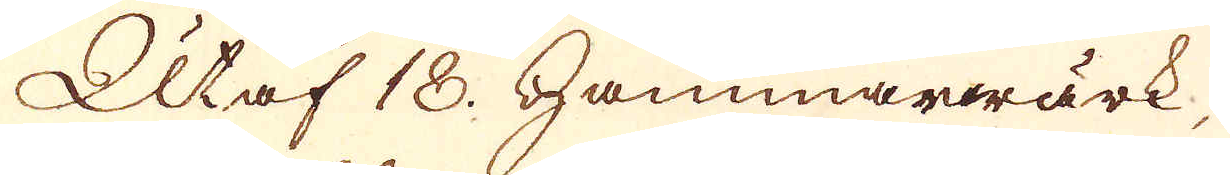Utaf 18 Hammarwärk,
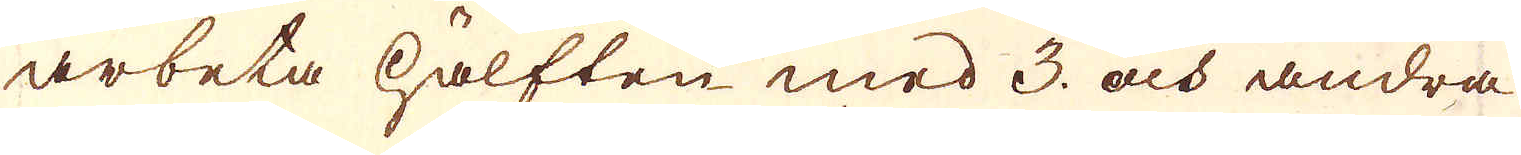arbeta hälften med 3 och andra
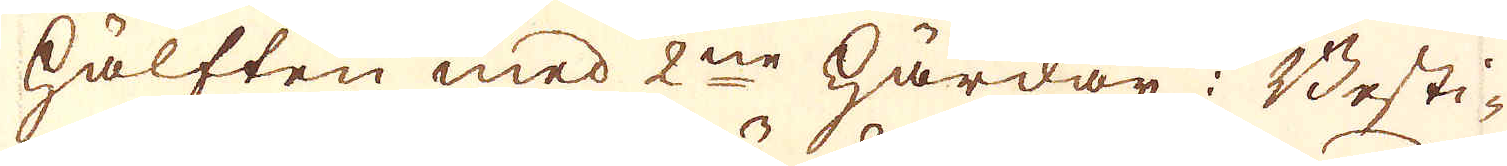hälften med 2ne härdar: Besti-
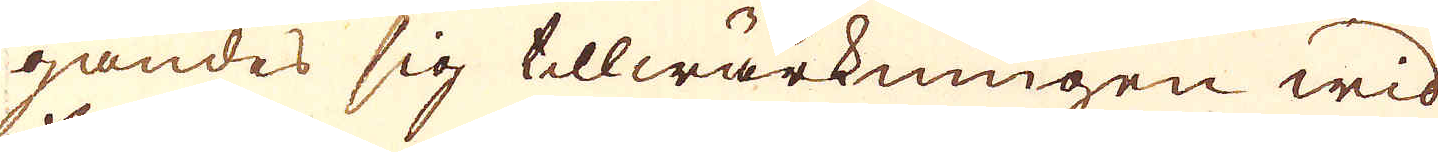gandes sig tillwärkningen wid
